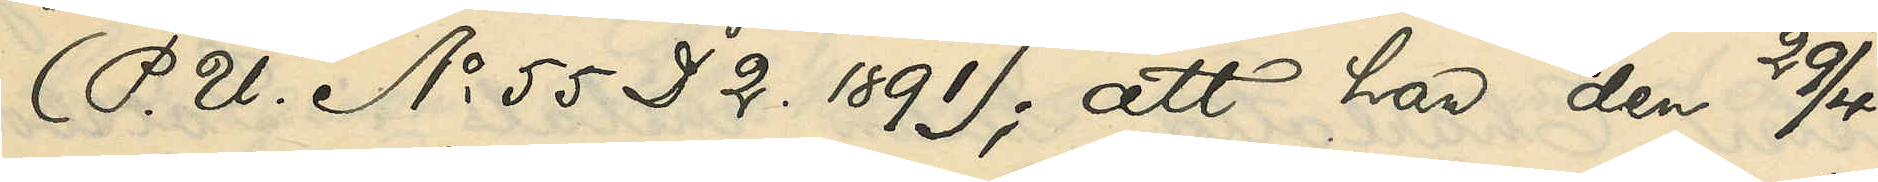(P. U. No 55 D. 2 1891); att han den 29/4
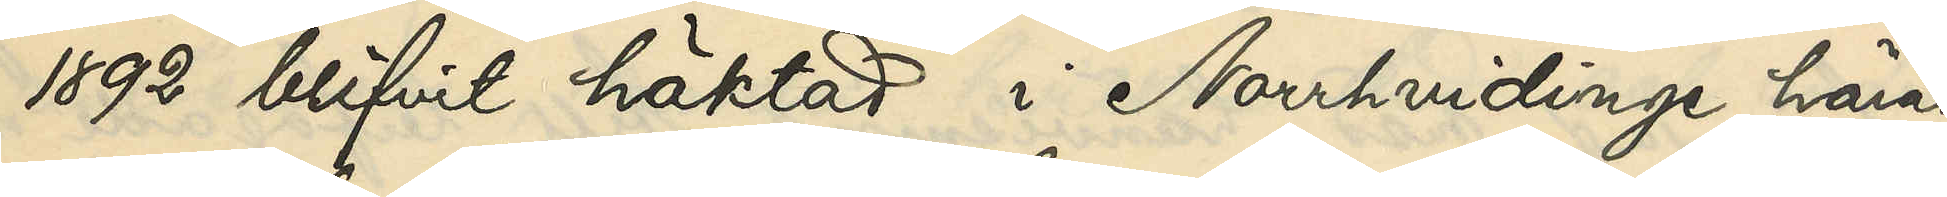1892 blifvit häktad i Norrhvidinge härad
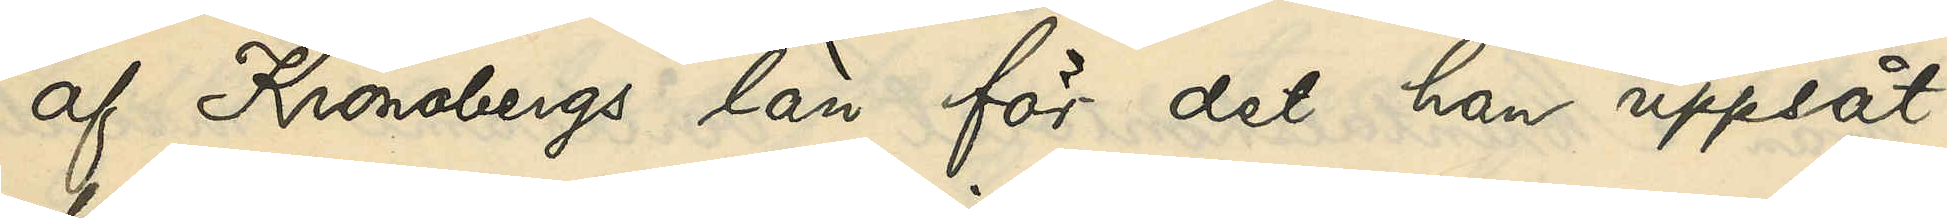af Kronobergs län för det han uppsåt¬
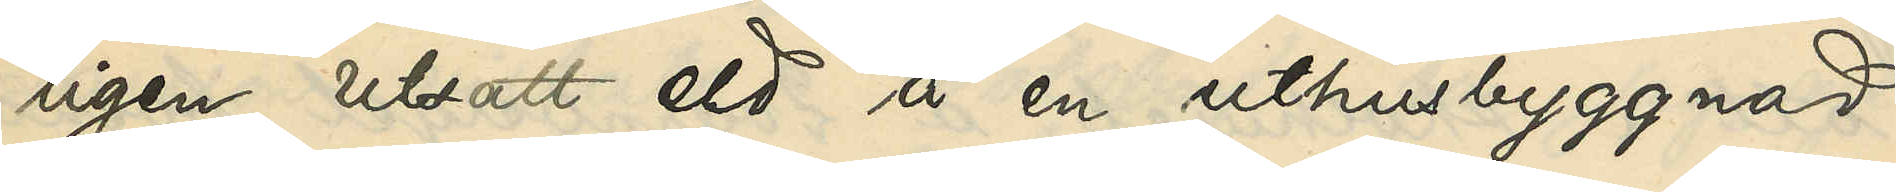ligen utsatt eld på en uthusbyggnad
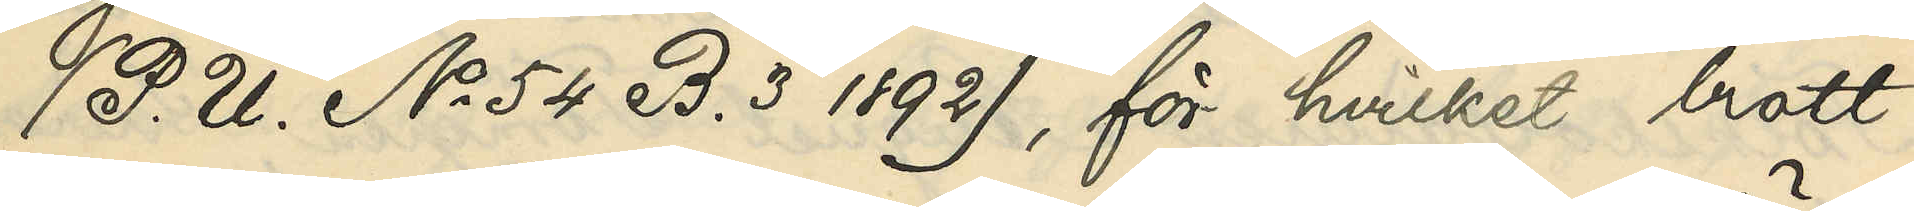(P. U. No 54 B. 3 1892), för hvilket brott
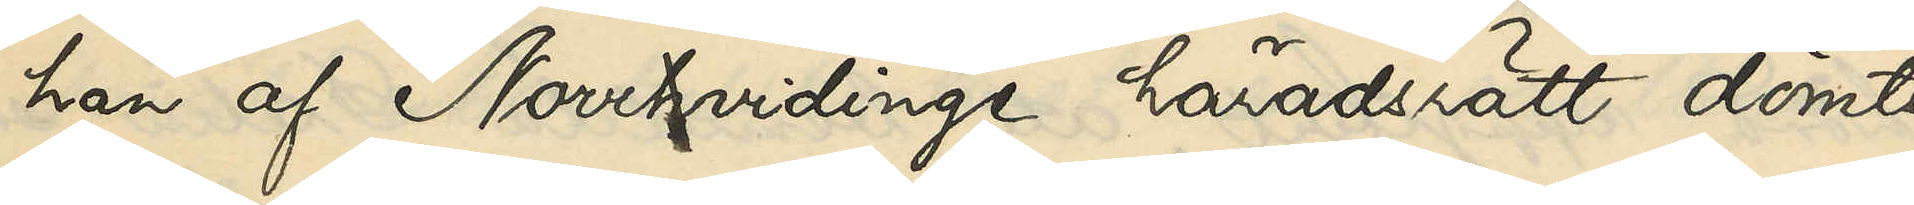han af Norrhvidinges häradsrätt dömts
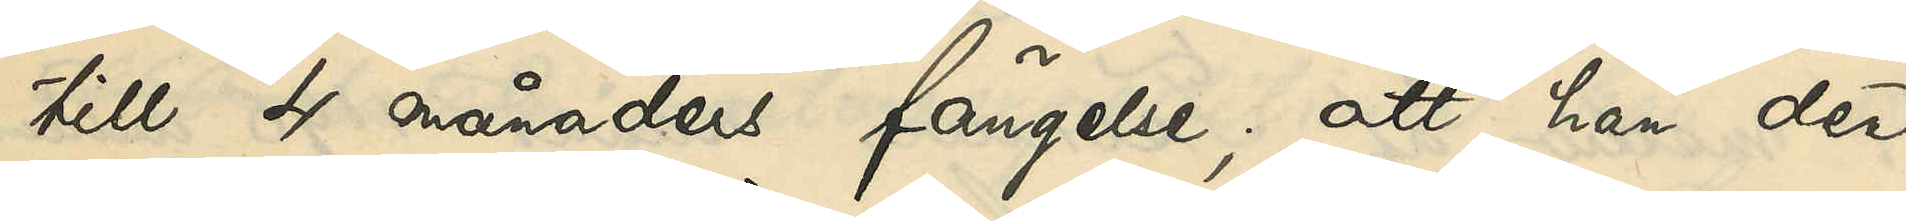till 4 månaders fängelse; att han den
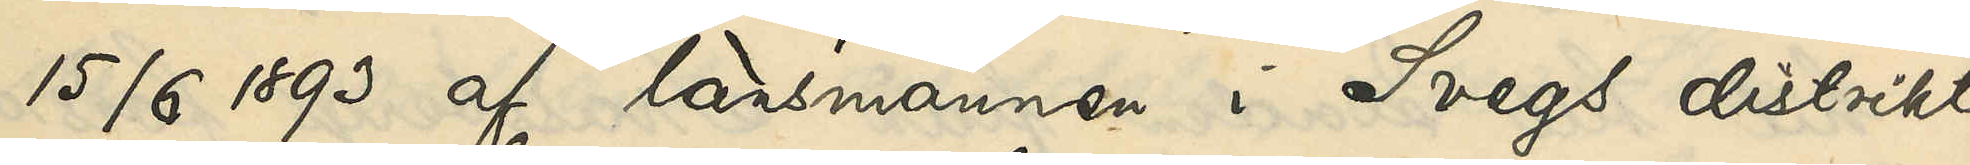15/6 1893 af länsmannen i Svegs distrikt
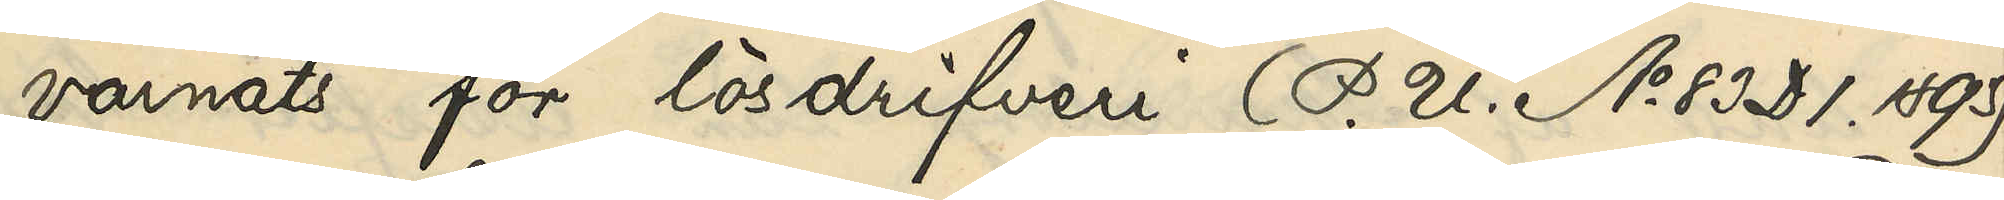varnats för lösdrifveri (P. U. No 83 D. 1 1893)
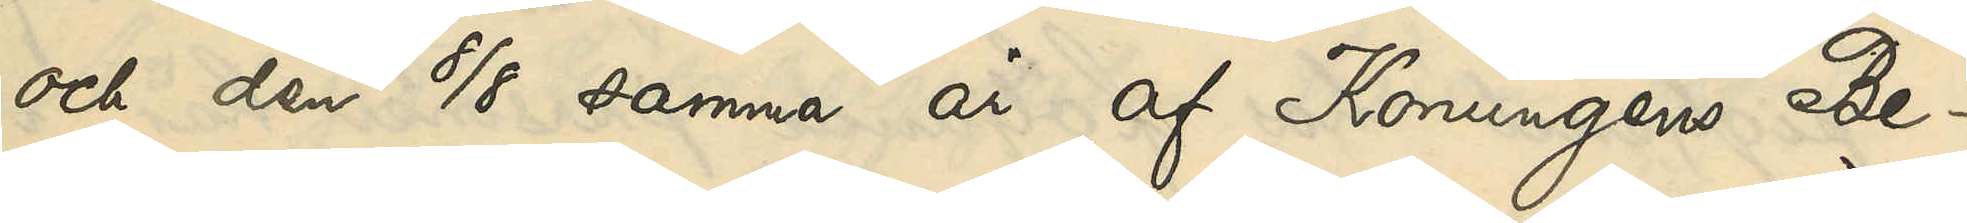och den 8/8 samma år af Konungens Be¬
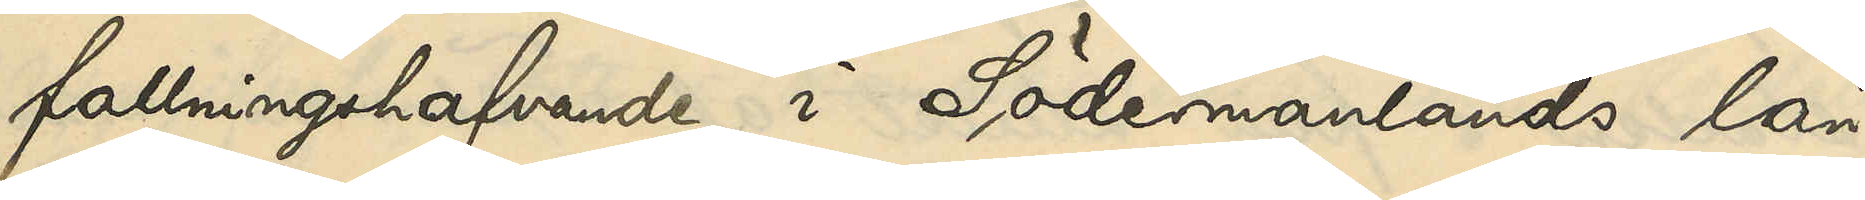fallningshafvande i Södermanlands län
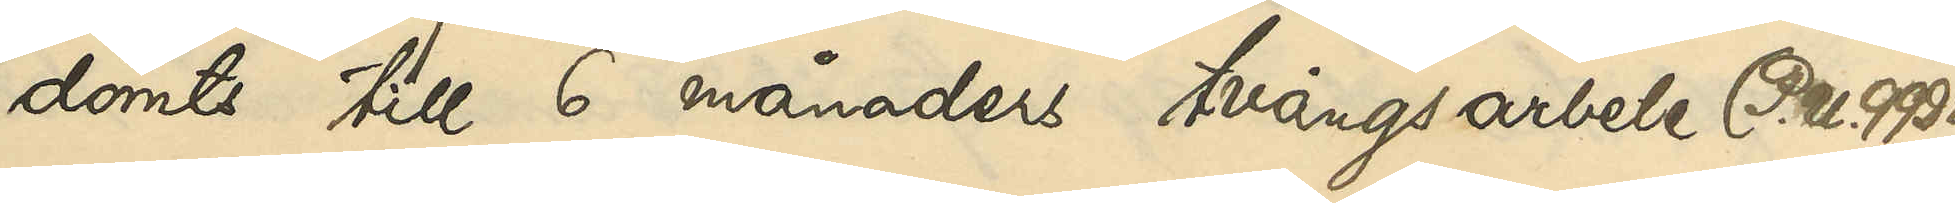dömts till 6 månaders tvångsarbete (P. U. 99 D. 1
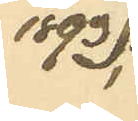1893).
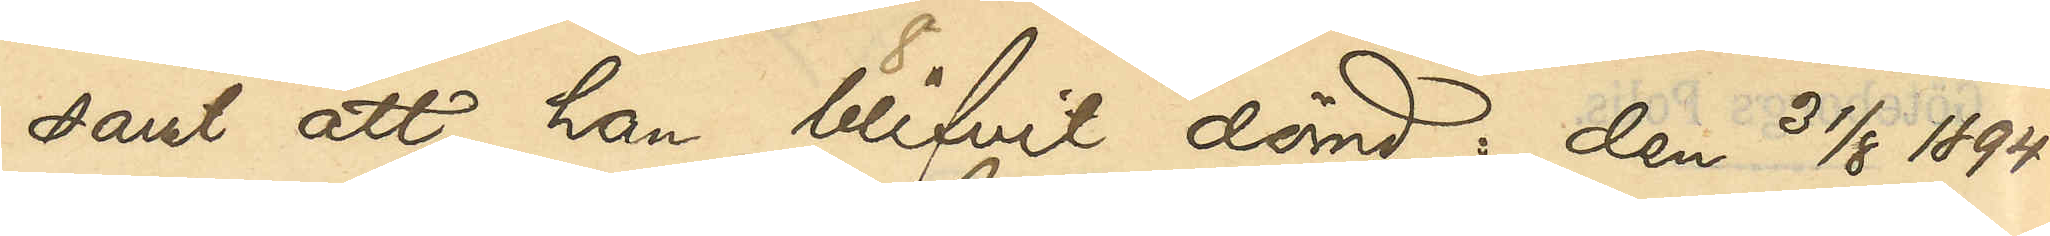samt att han blifvit dömd: den 31/8 1894
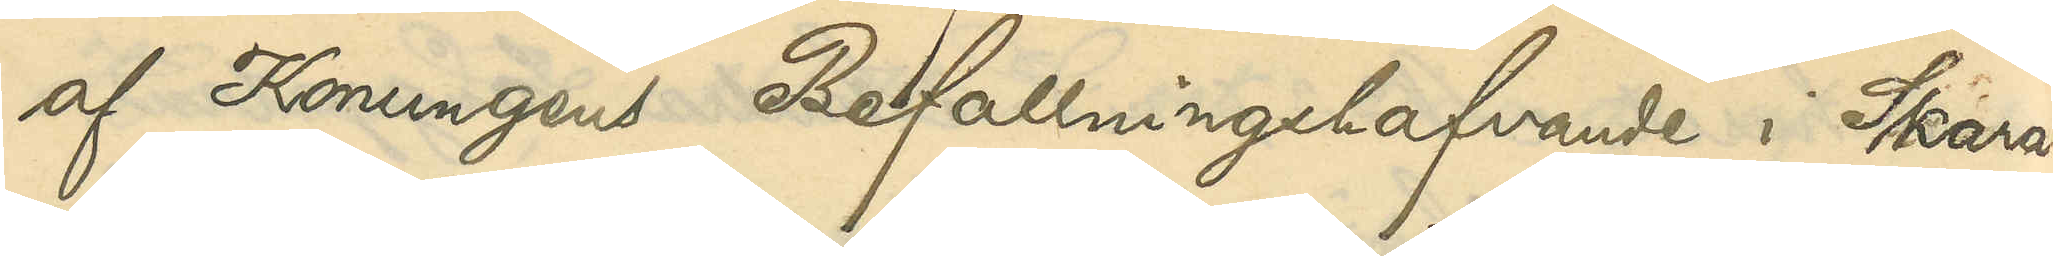af Konungens Befallningshafvande i Skara¬
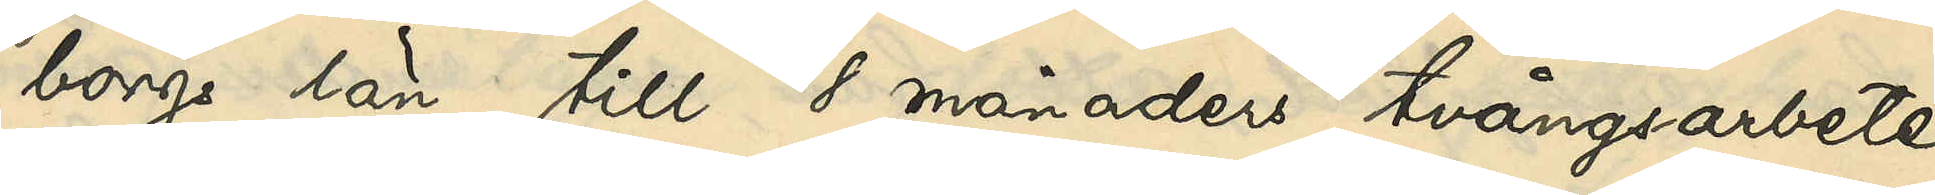borgs län till 8 månades tvångsarbete
